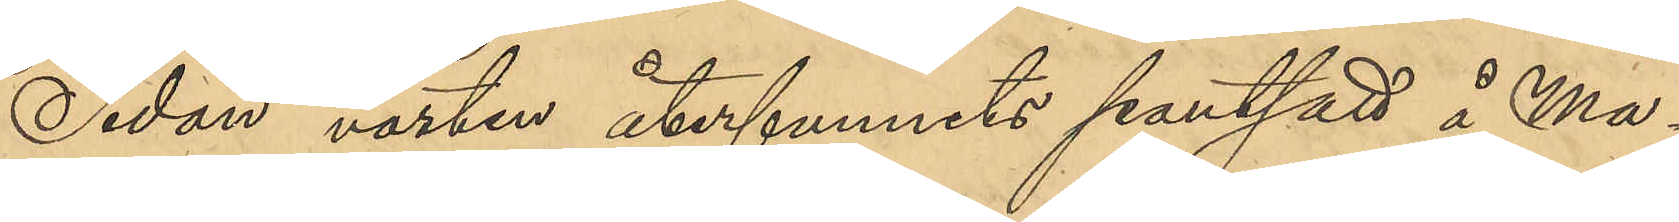Sedan västen återfunnits pantsatt å Ma¬
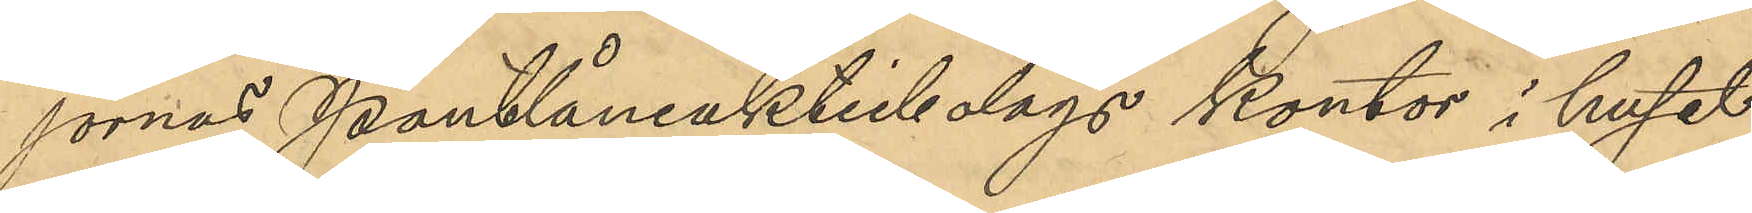jornas Pantlåneaktiebolags kontor i huset
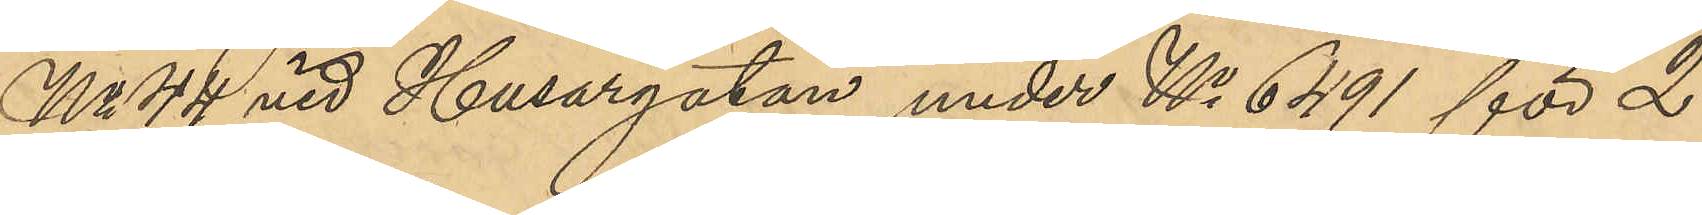No 44 vid Husargatan under No 6491 för 2
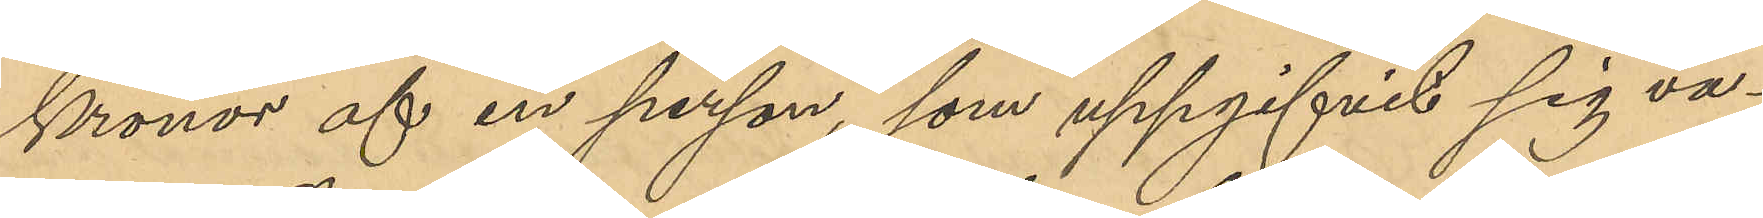Kronor af en person, som uppgifvit sig va¬
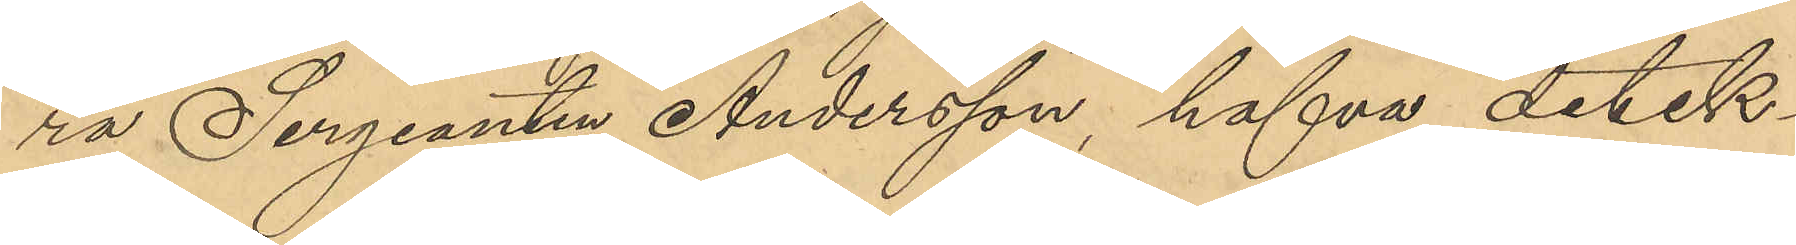ra Sergeanten Andersson, hafva detek¬
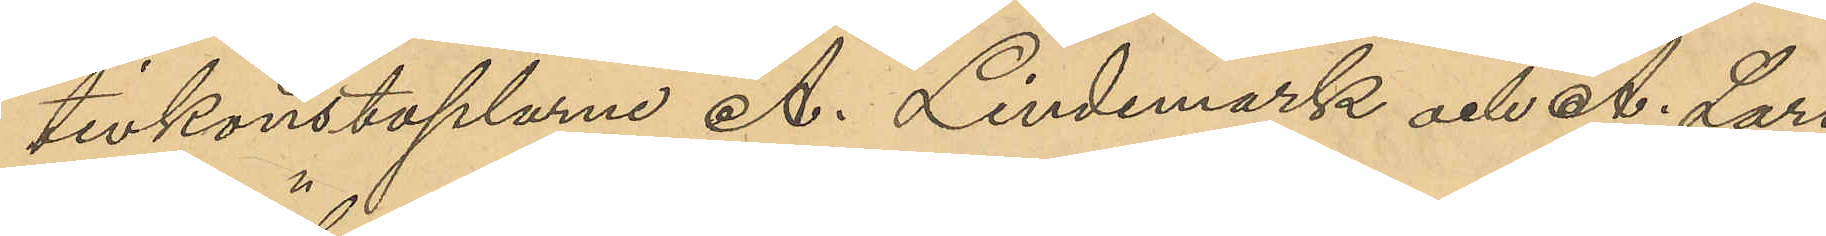tivkonstaplarne A. Lindemark och A. Lar¬
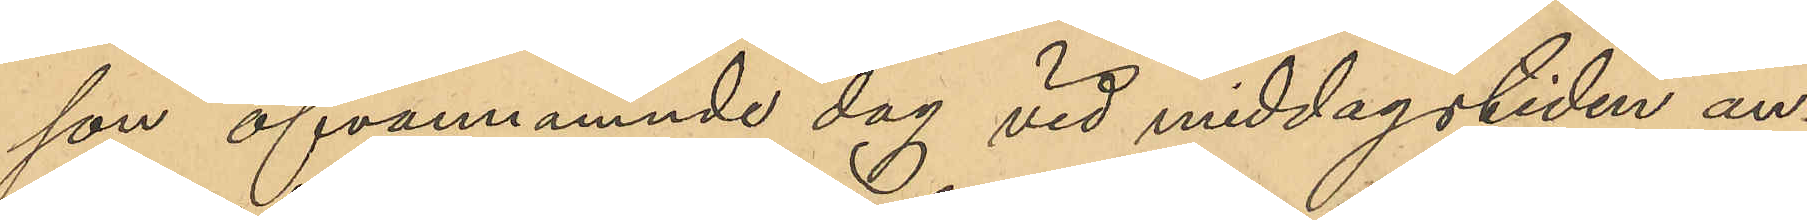son ofvannämnde dag vid middagstiden an¬
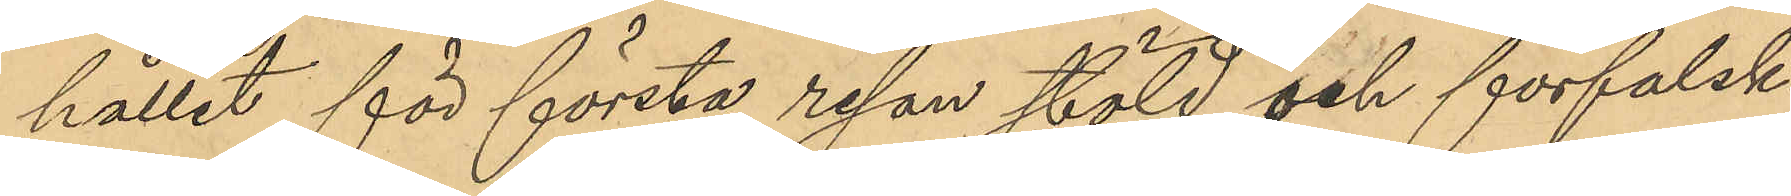hållit för första resan stöld och förfalsk¬
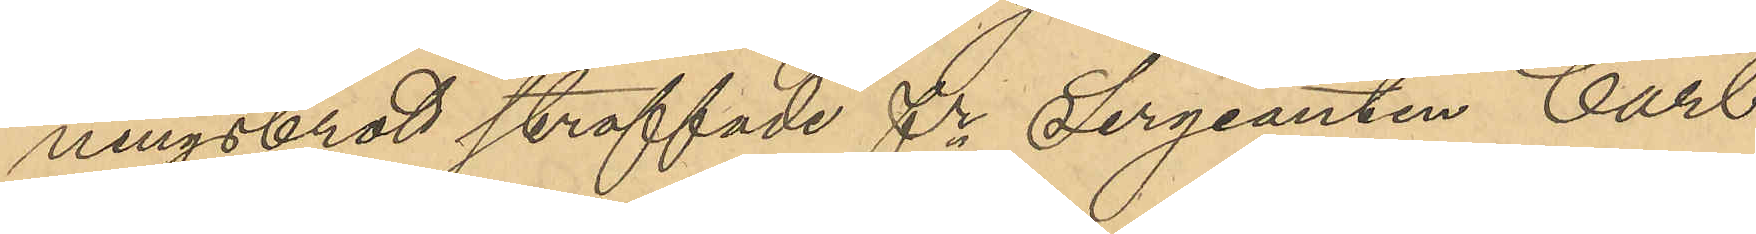ningsbrott straffade fre Sergeanten Carl
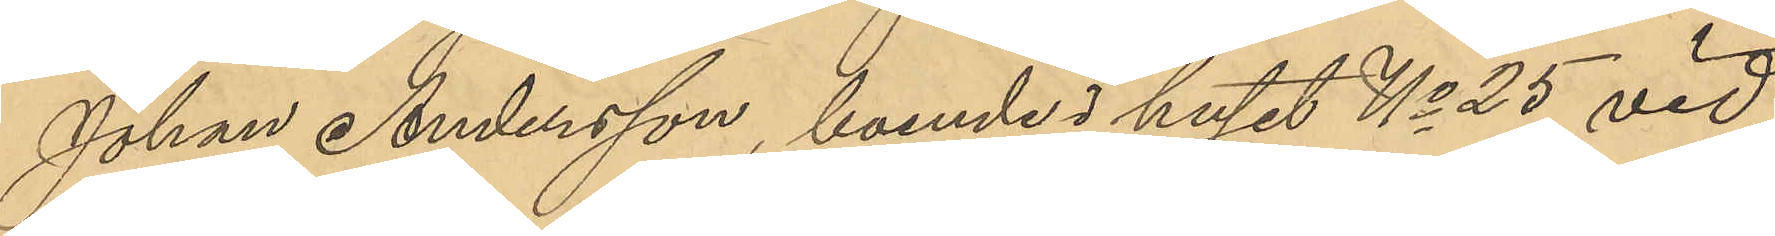Johan Andersson, boende i huset No 25 vid
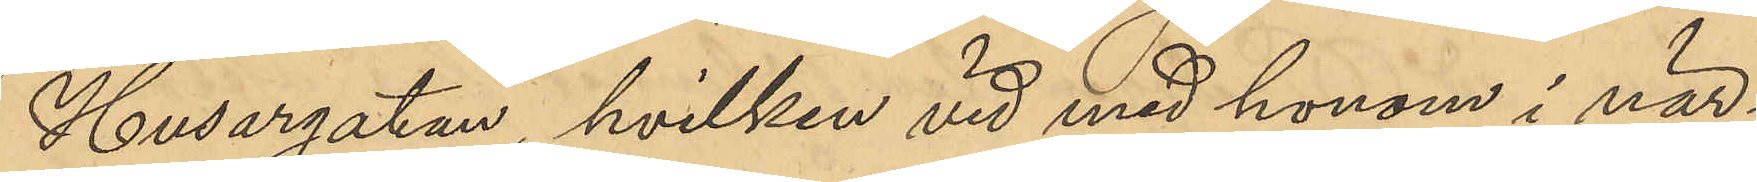Husargatan, hvilken vid med honom i när¬
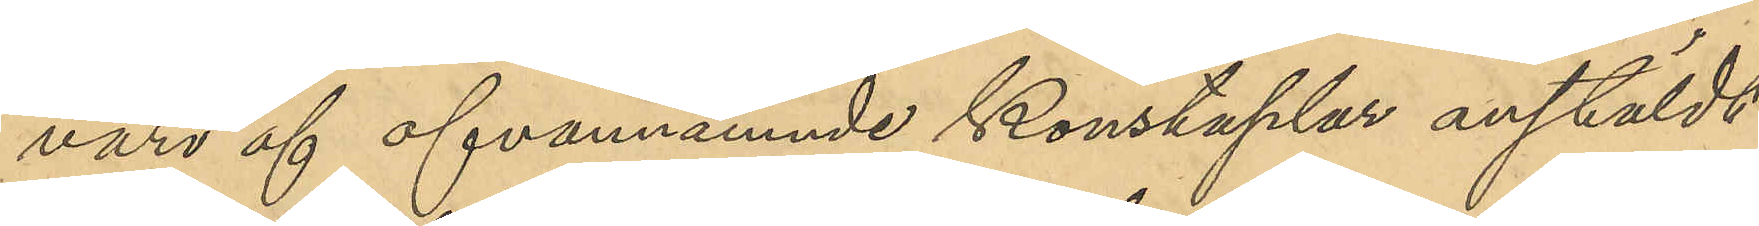varo af ofvanämnde konstaplar anstäldt
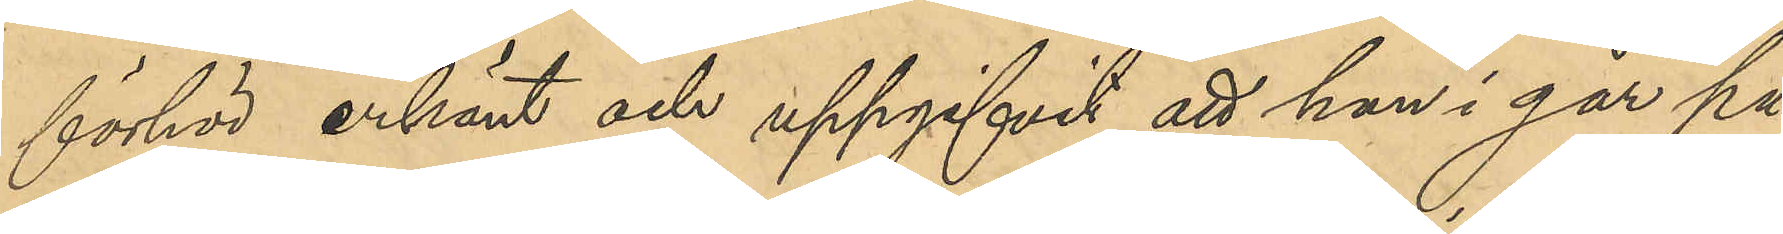förhör erkänt och uppgifvit att han i går på
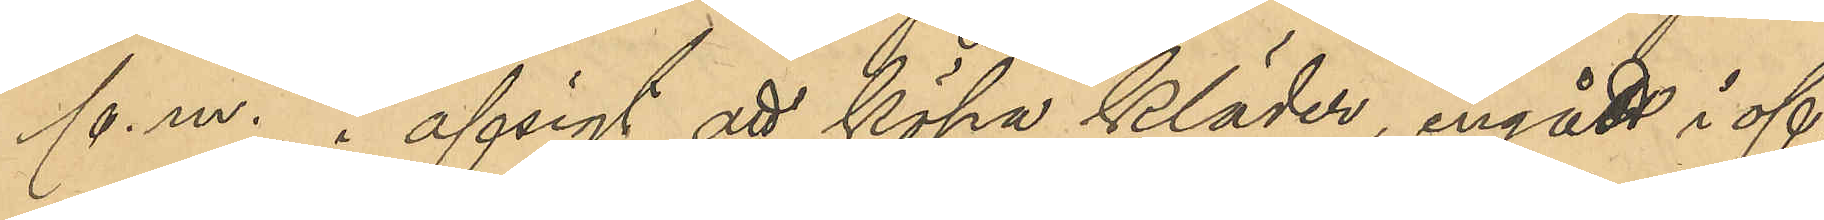f. m., i afsigt att köpa kläder, ingått i of¬
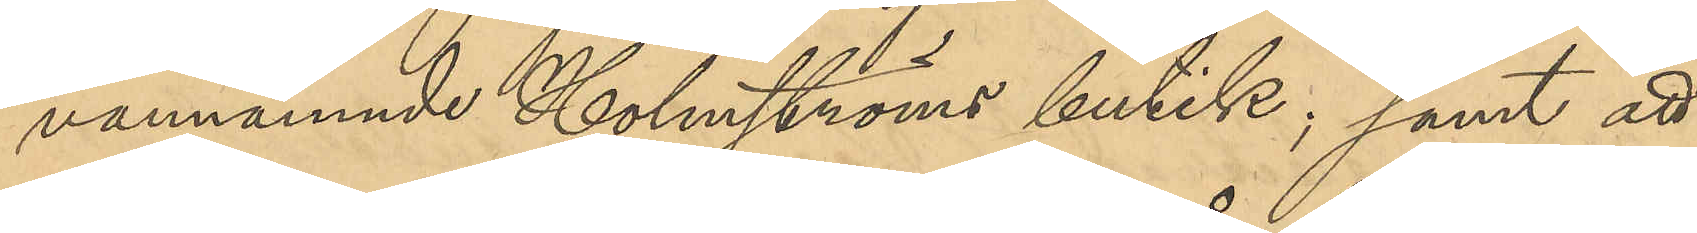vannämnde Holmströms butik; samt att 
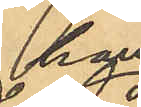han
